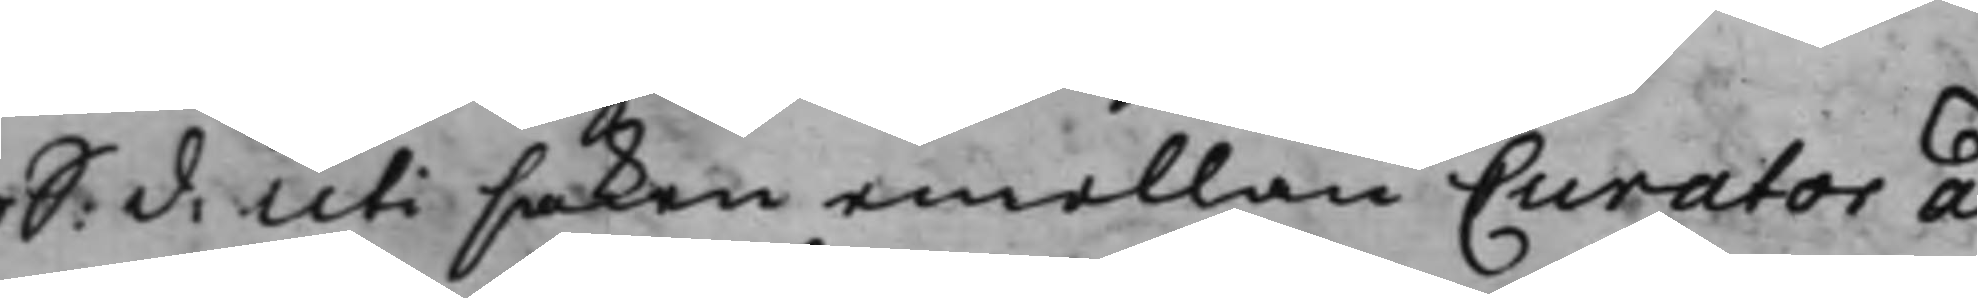S: d: Uti saken emellan Curator ad
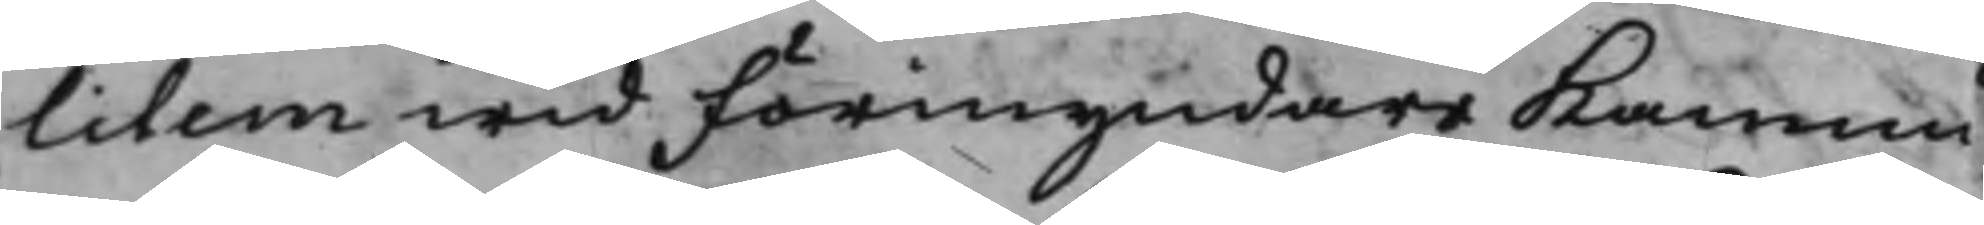litem wid Förmyndare Kamma¬
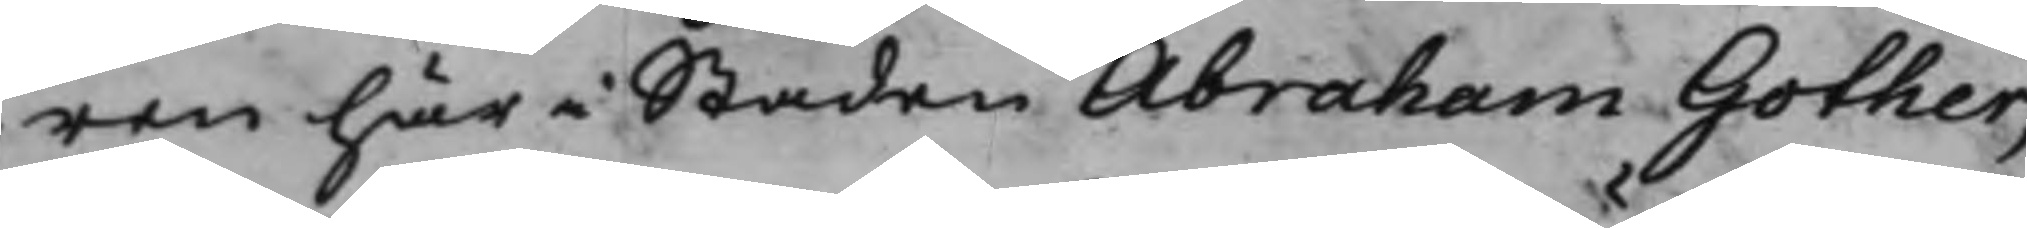ren här i Staden Abraham Gother,
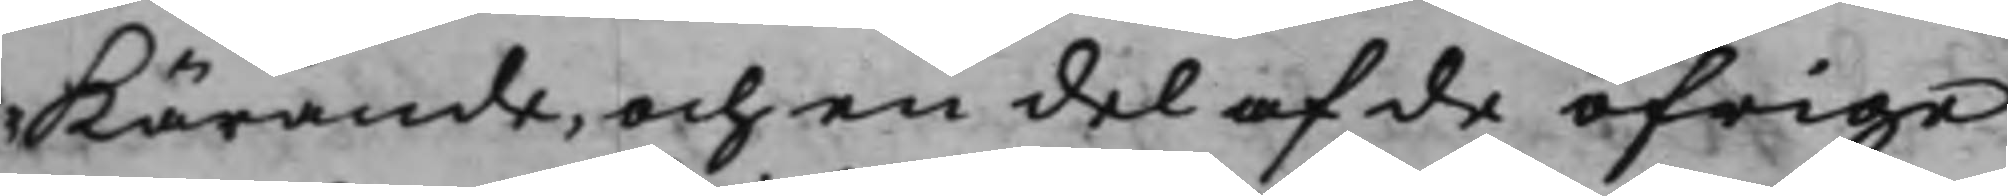Kärande, och en del af de öfrige
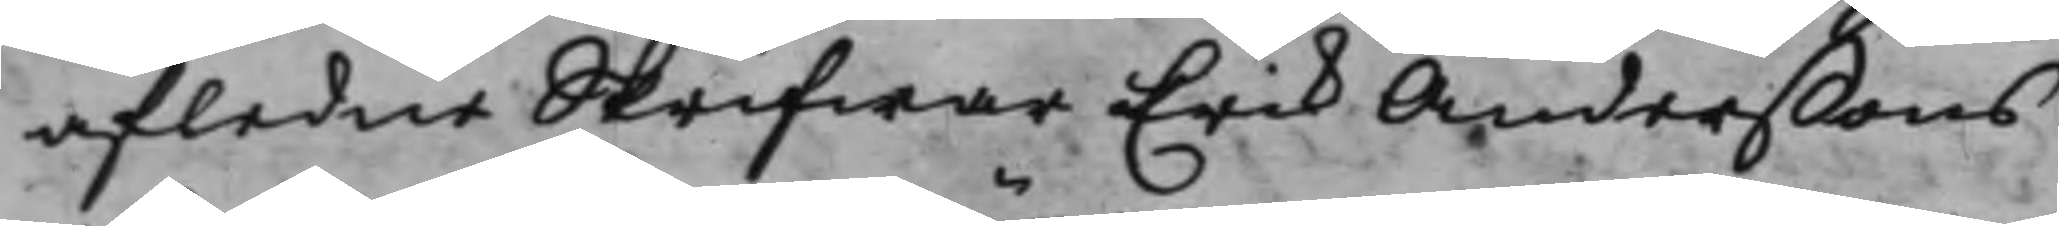afledne Skrifwar Erik Anderßons
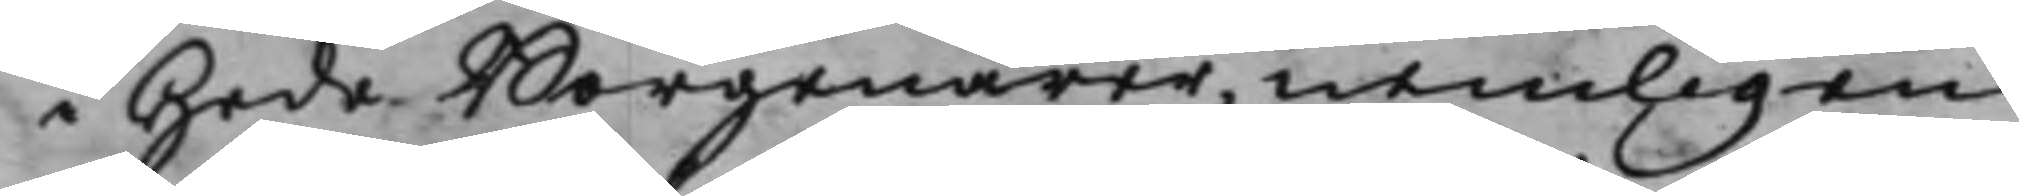i Hede Borgenärer, nemligen
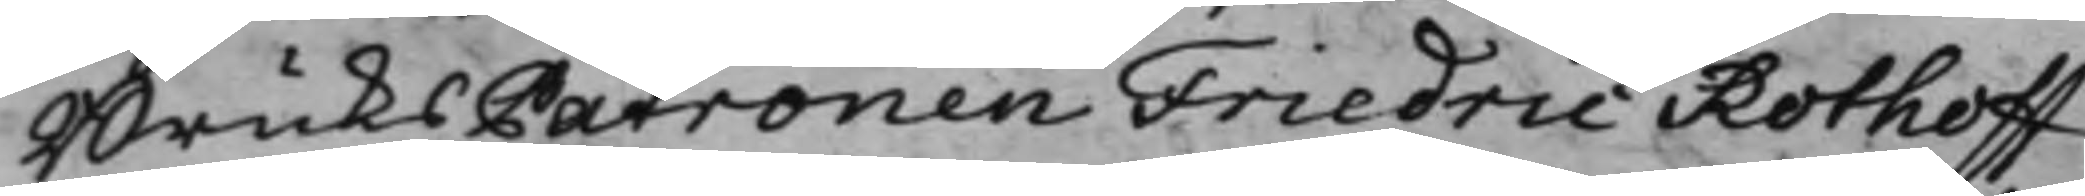BruksPatronen Fredric Rothoff
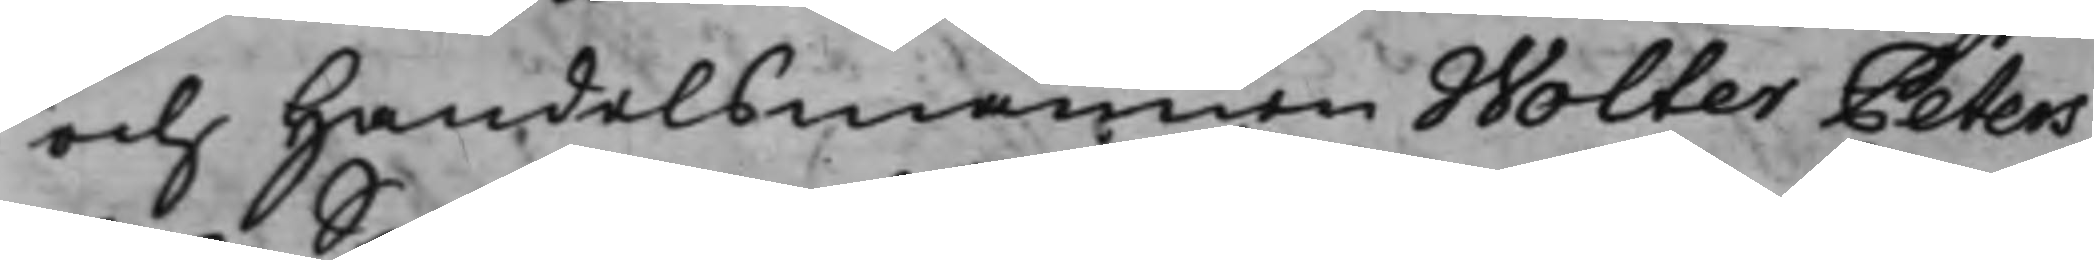och Handelsmannen Wolter Peters¬
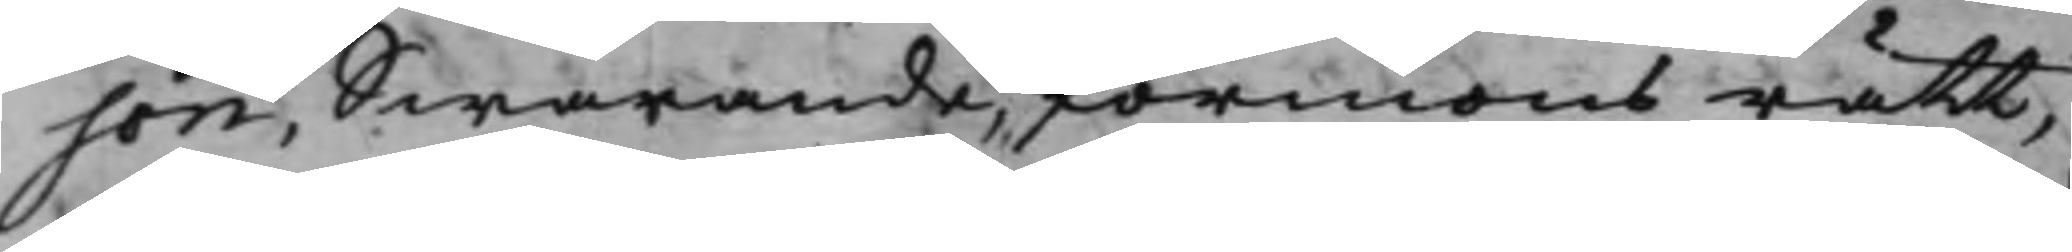son, Swarande, förmons rätt,
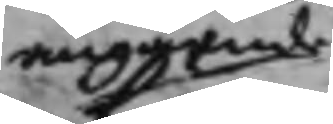angående
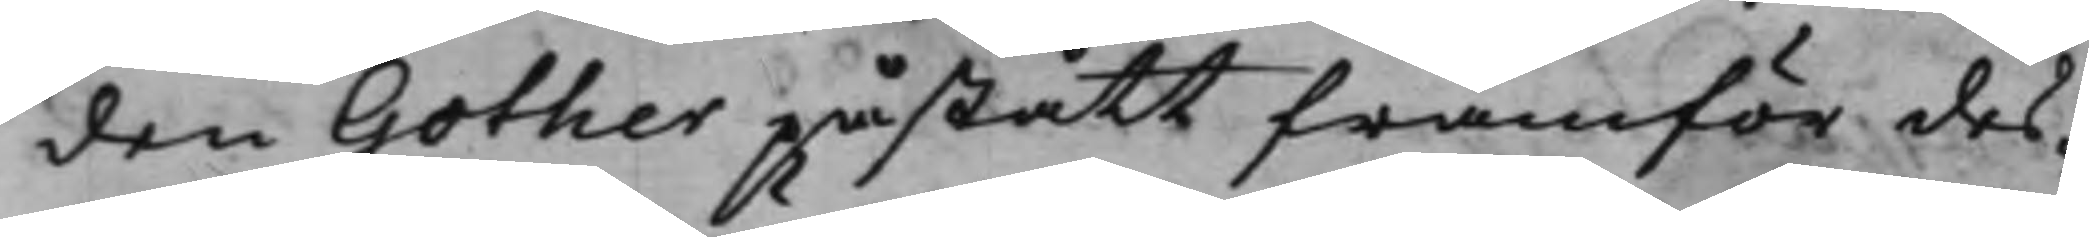den Gother påstått framför des¬
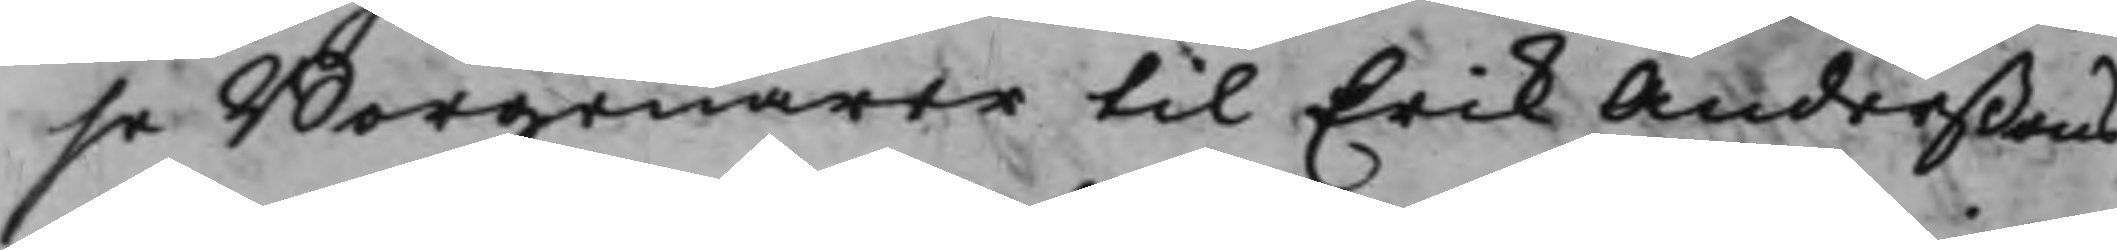se Borgenärer til Erik Anderßons
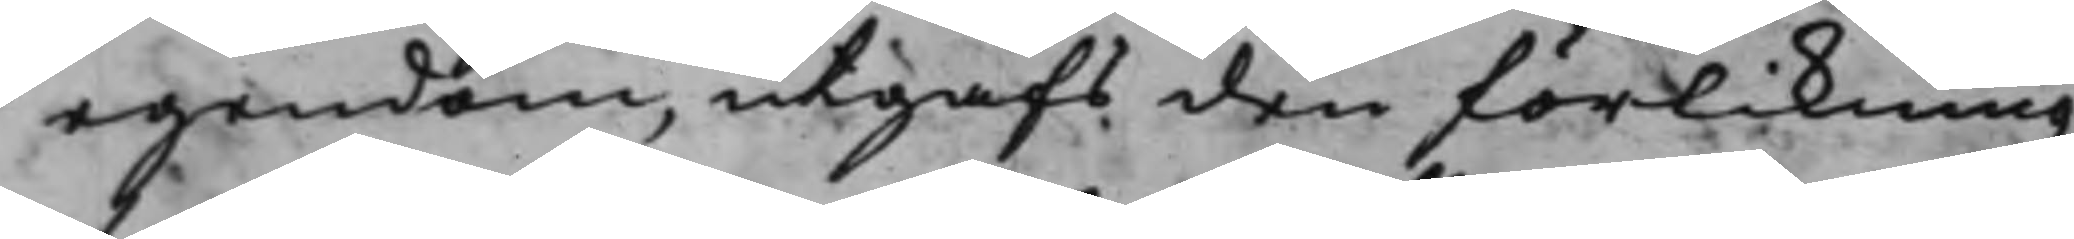egendom, utgafs den förlikning,
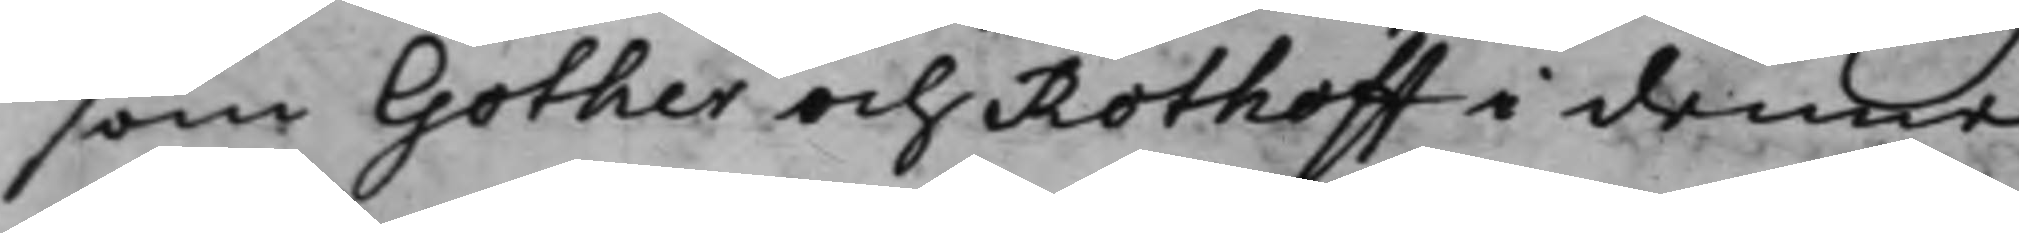som Gother och Rothoff i denne
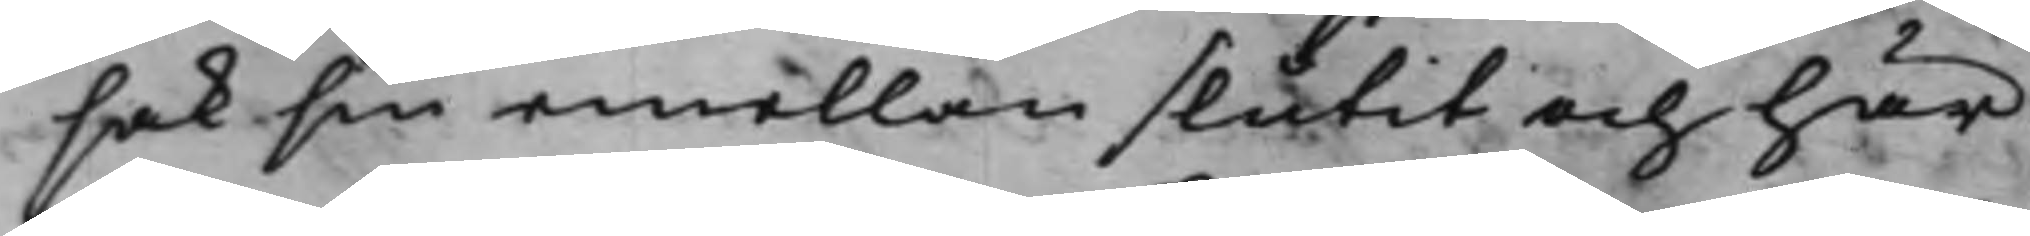sak sin emellan slutit och här
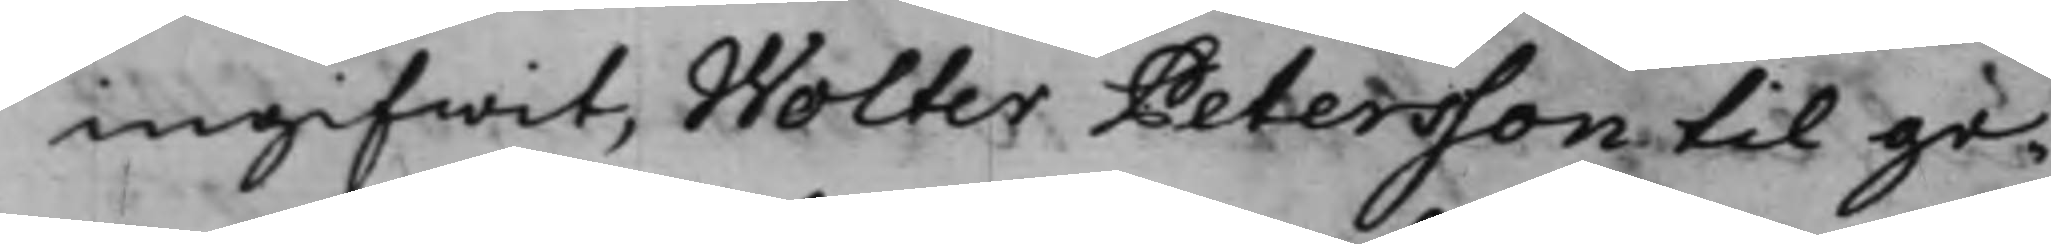ingifwit, Wolter Petersson til ge¬
